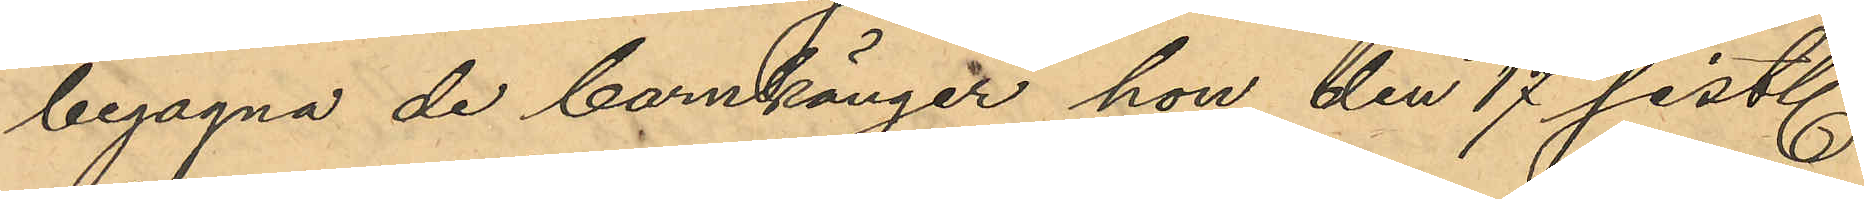begagna de barnkänger hon den 17 sist.
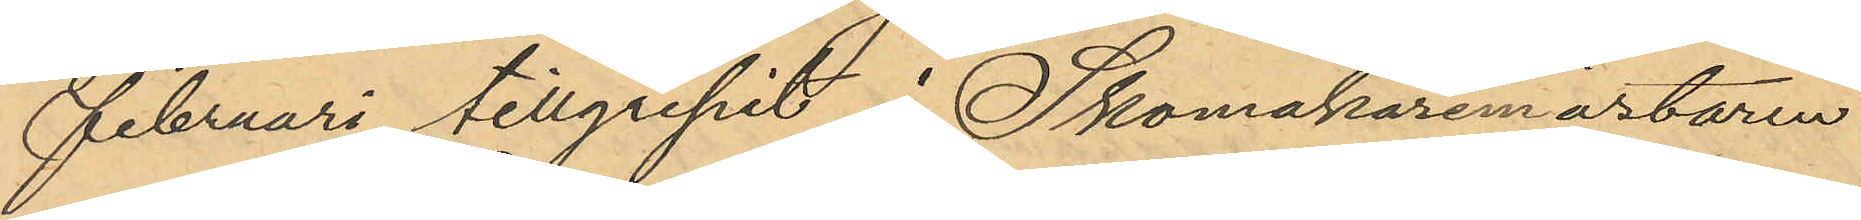Februari tillgripit i Skomakaremästaren
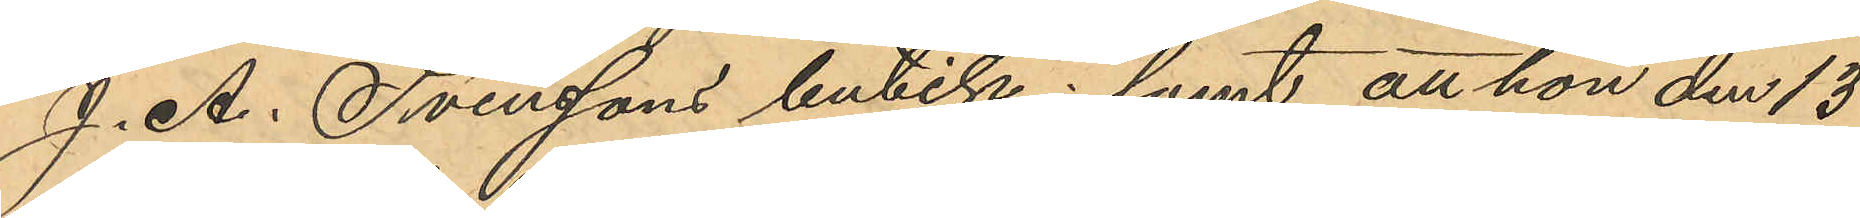J. A. Svenssons butik; samt att hon den 13
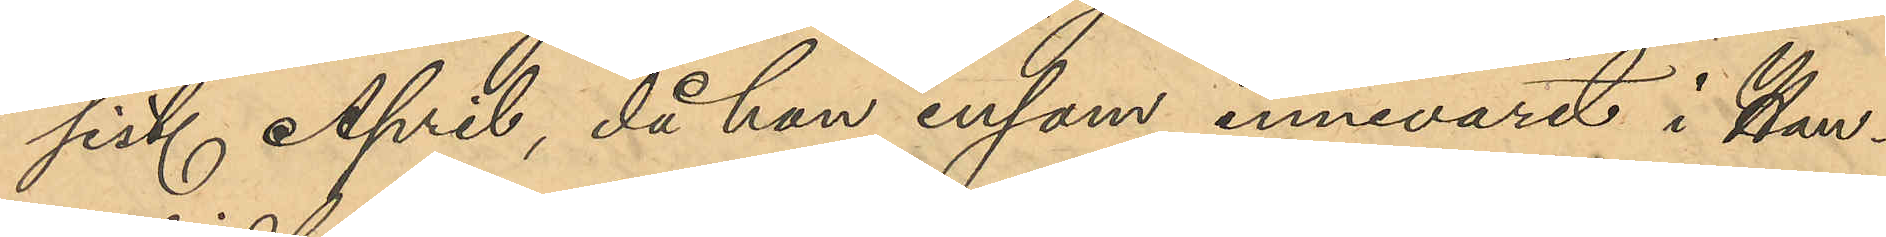sist. April, då hon ensam innevarit i Han¬
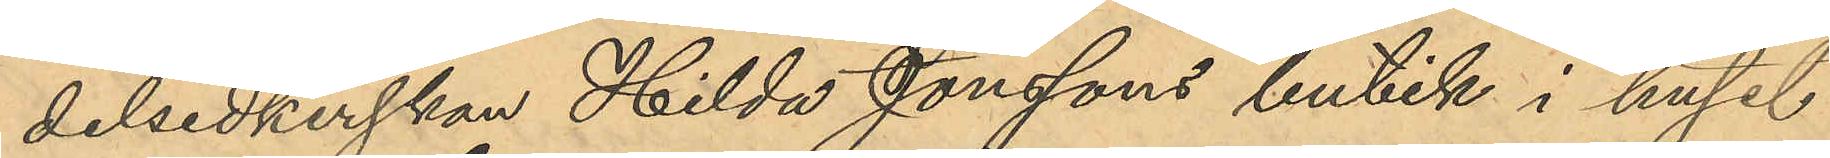delsidkerskan Hilda Jonssons butik i huset
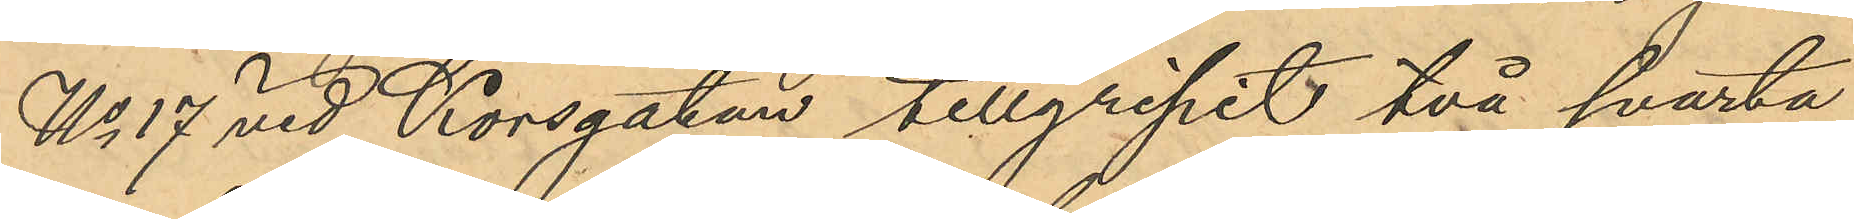No 17 vid Korsgatan tillgripit två svarta
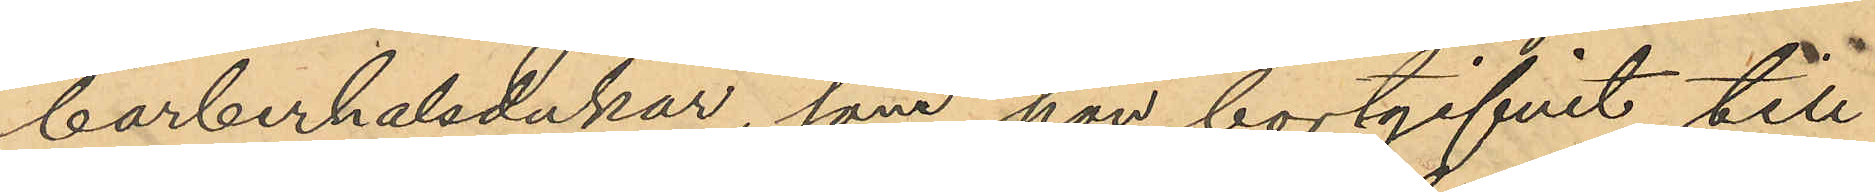barberhalsdukar, som hon bortgifvit till
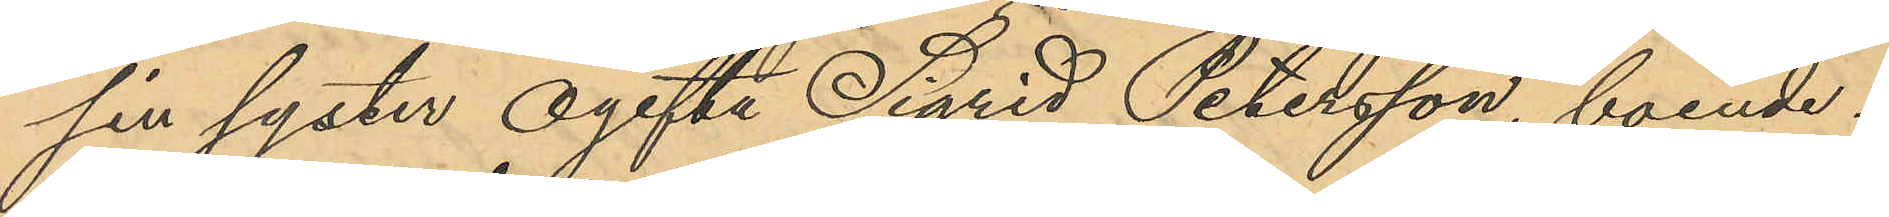sin syster ogifta Sigrid Petersson, boende i
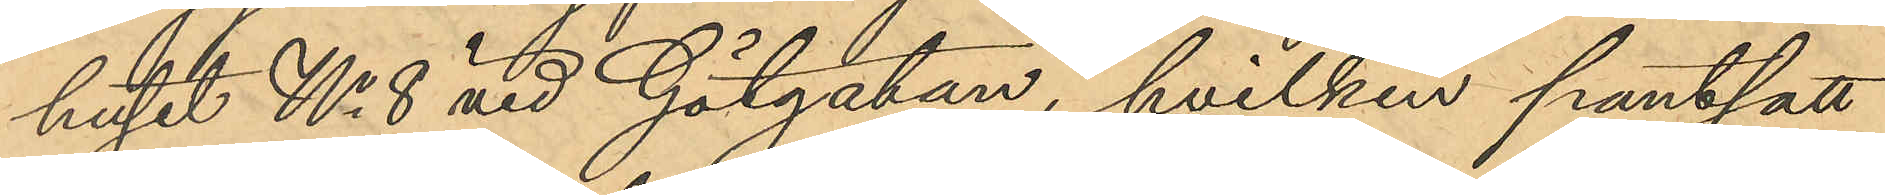huset No 8 vid Götgatan, hvilken pantsatt
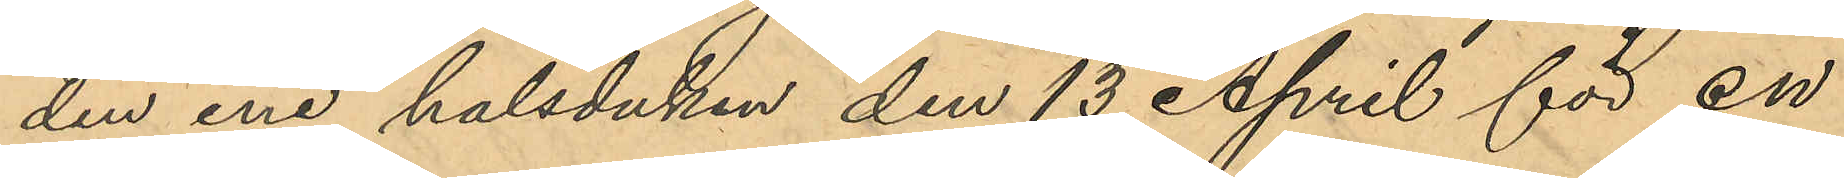den ene halsduken den 13 April för en
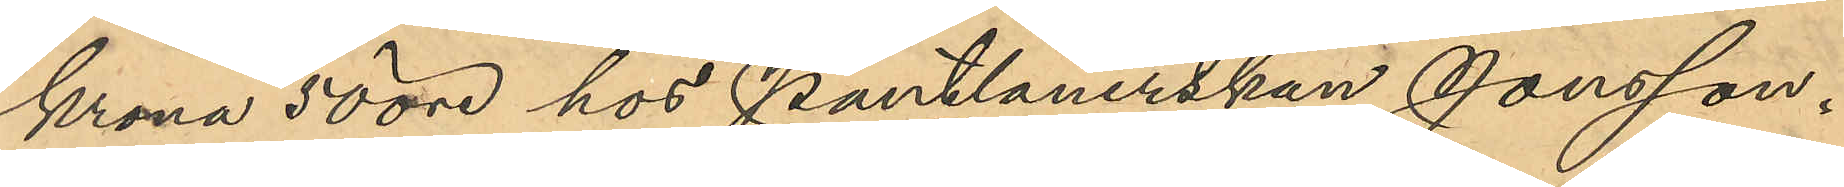Krona 50 öre hos Pantlånerskan Jonsson.
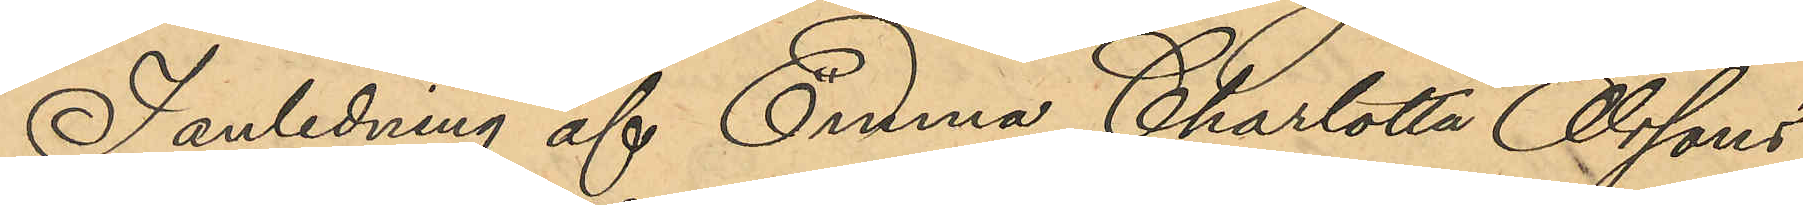I anledning af Emma Charlotta Olssons
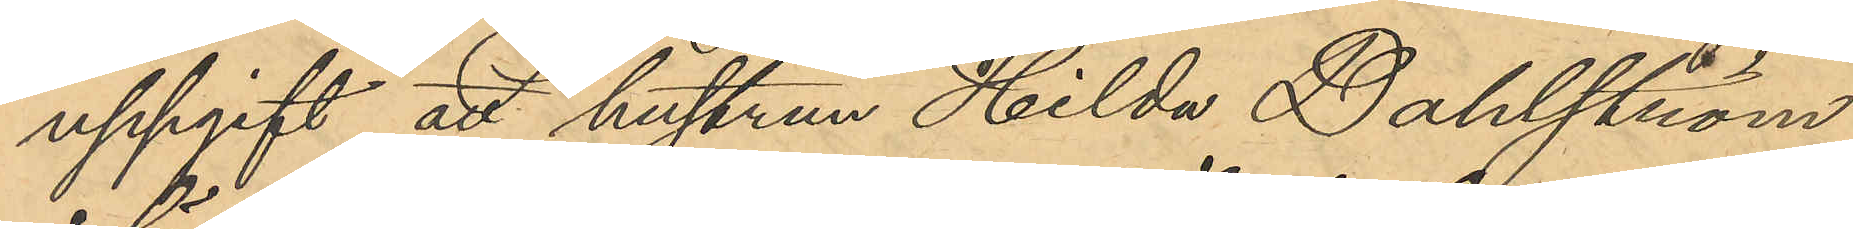uppgift att hustrun Hilda Dahlström
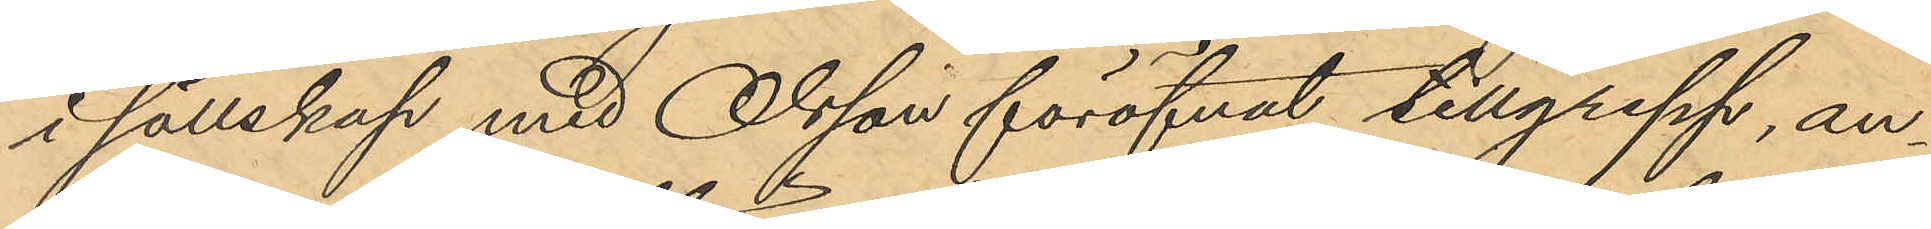i sällskap med Olsson föröfvat tillgrepp, an¬
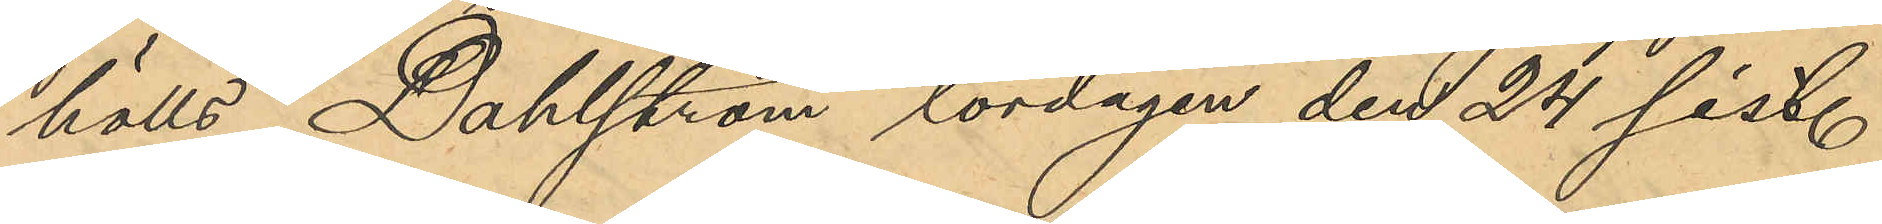hölls Dahlström lördagen den 24 sist.
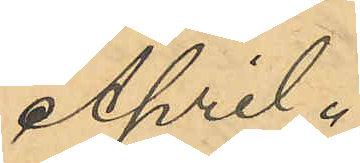April.
